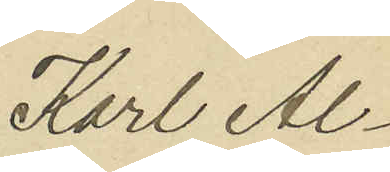Karl Al¬
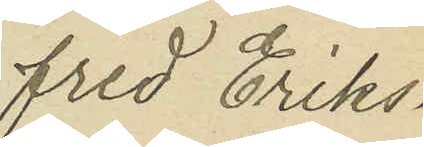fred Eriks¬
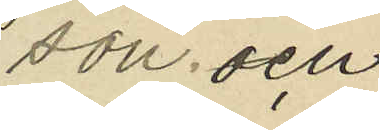son och
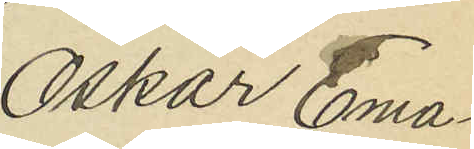Oskar Ema¬
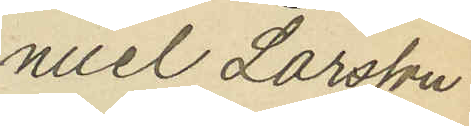nuel Larsson
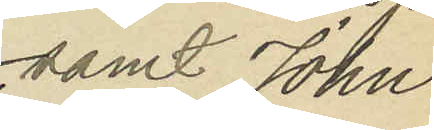samt John
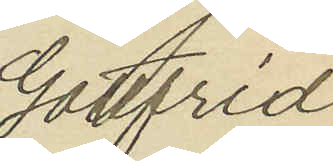Gottfrid
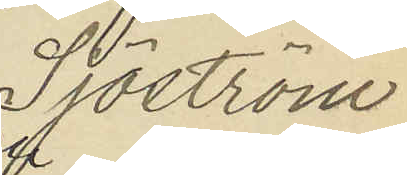Sjöström
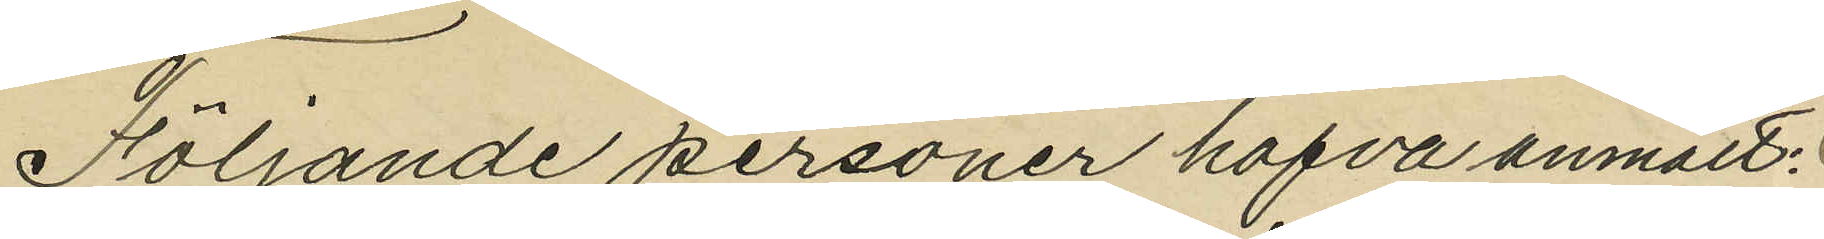Följande personer hafva anmält:
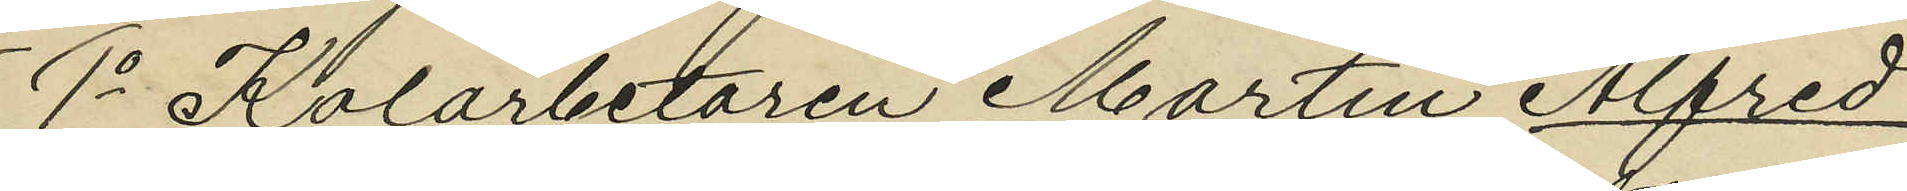1o Kolarbetaren Martin Alfred
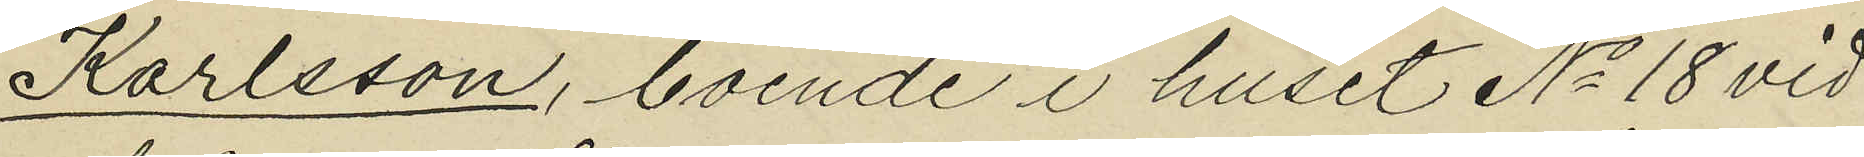Karlsson, boende i huset No 18 vid
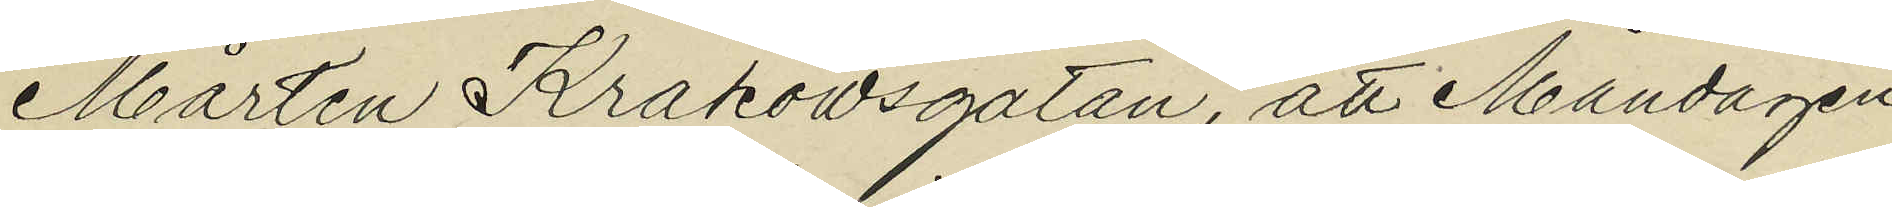Mårtin Krakowsgatan, att Måndagen
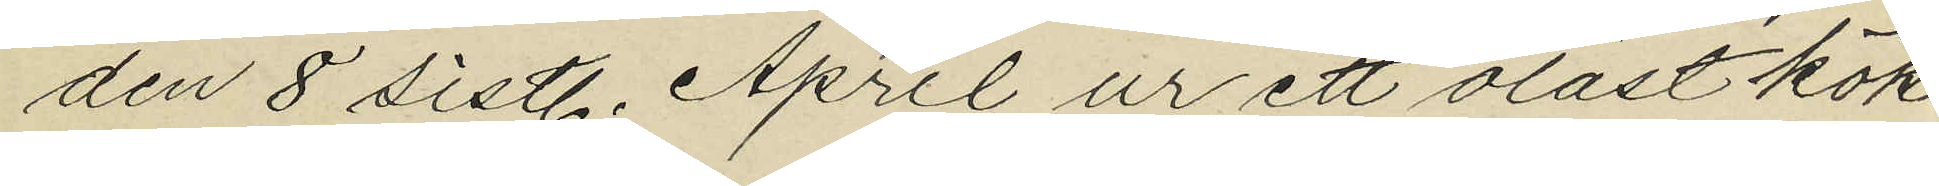den 8 sistl. April ur ett olåst kök
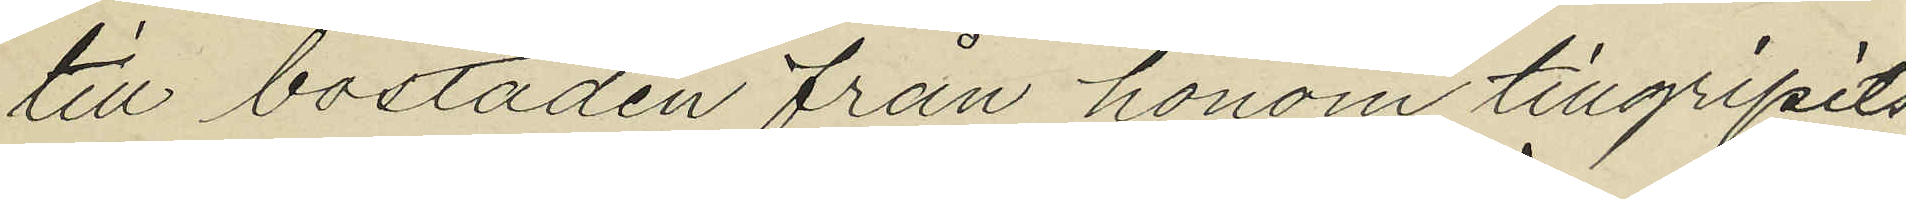till bostaden från honom tillgripits
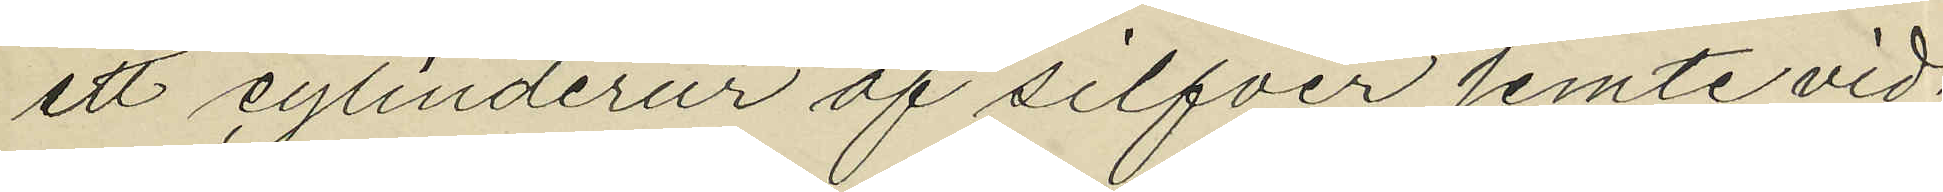ett cylinderur af silfver jemte vid
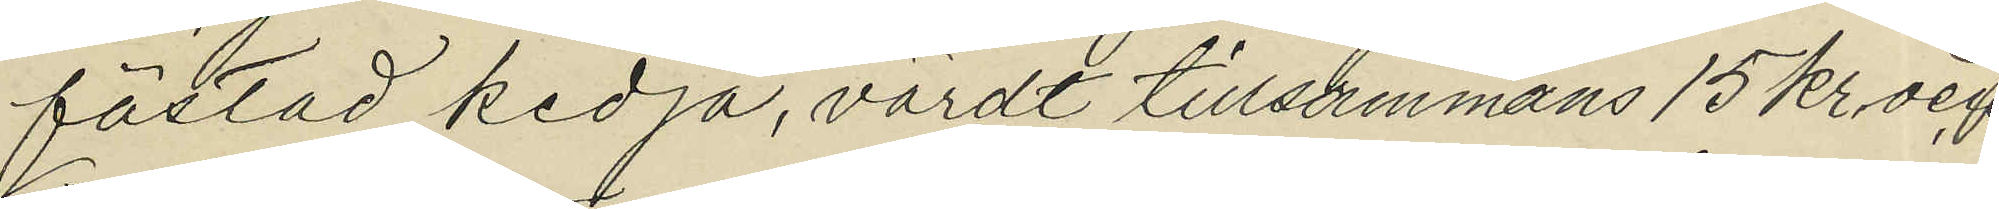fästad kedja, värdt tillsammans 15 kr och
